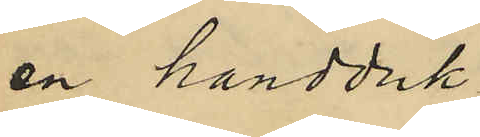en handduk
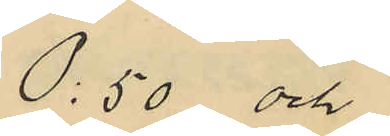0:50 och
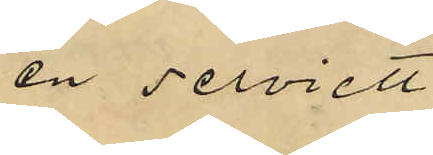en serviett
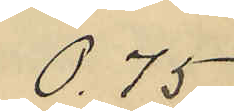0.75
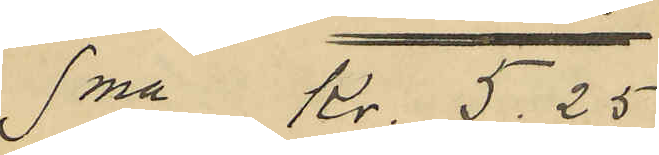Sma Kr. 5.25
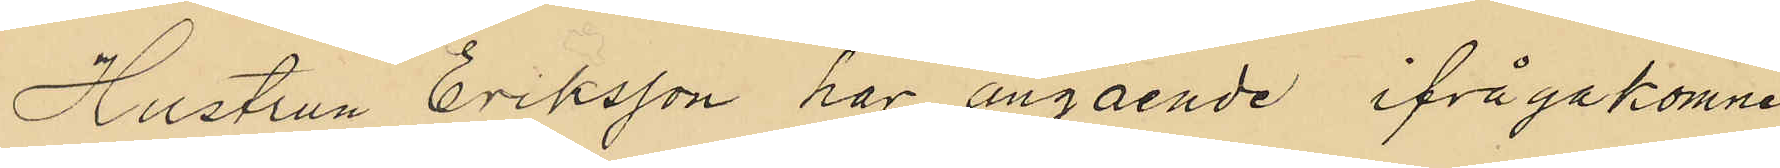Hustrun Eriksson har angående ifrågakomne
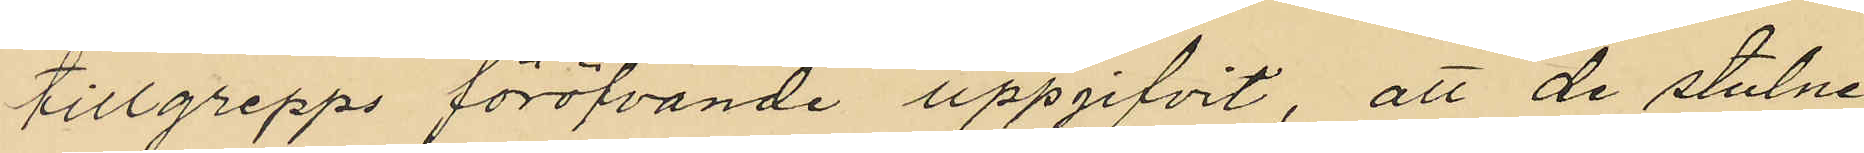tillgrepps föröfvande uppgifvit, att de stulne
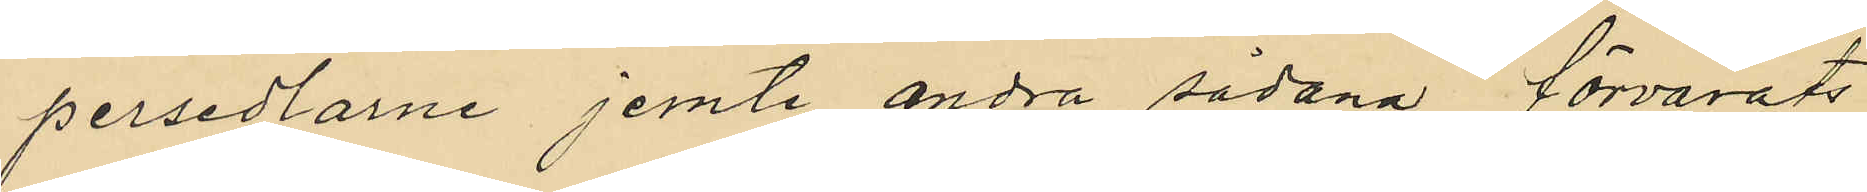persedlarne jemte andra sådana förvarats
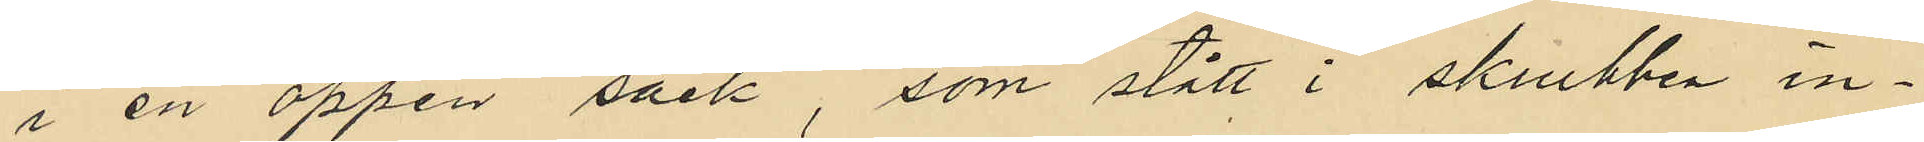i en öppen säck, som stått i skrubben in¬
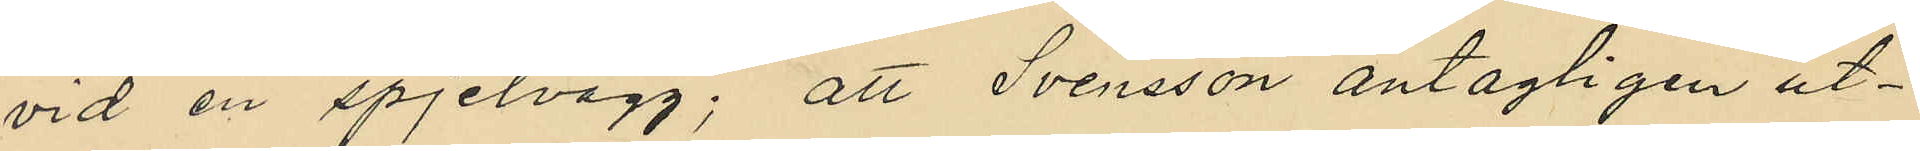vid en spjelvägg; att Svensson antagligen ut¬
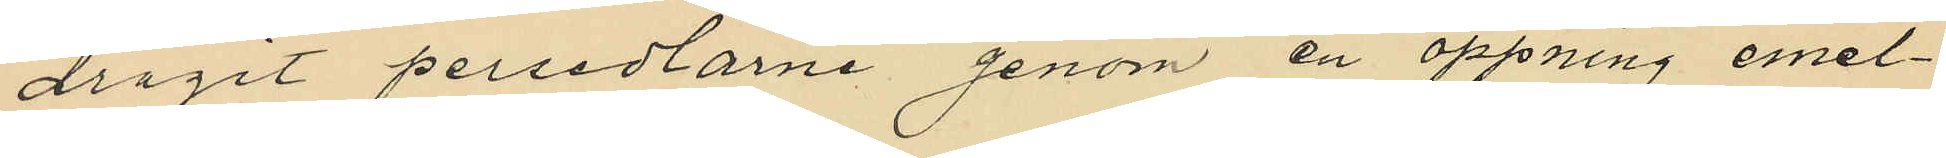dragit persedlarne genom en öppning emel¬
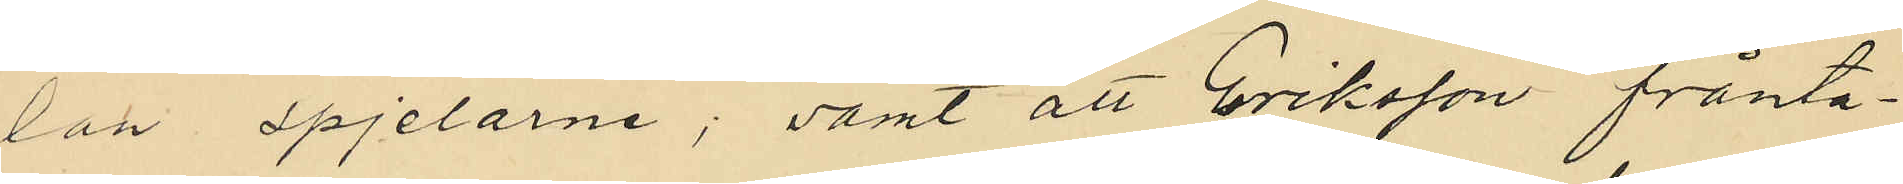lan spjelarne; samt att Eriksson frånta¬
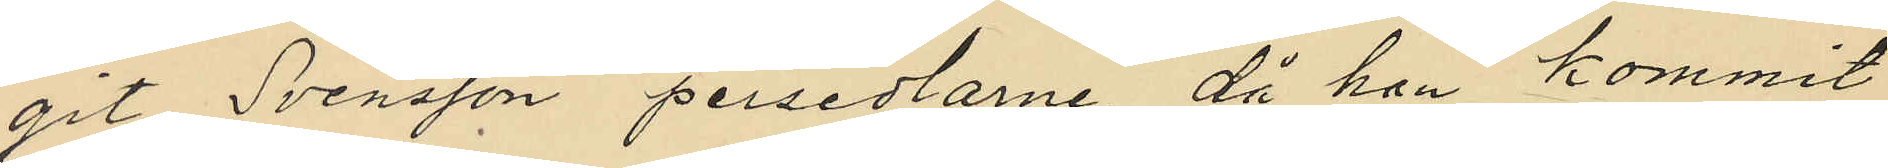git Svensson persedlarne, då han kommit
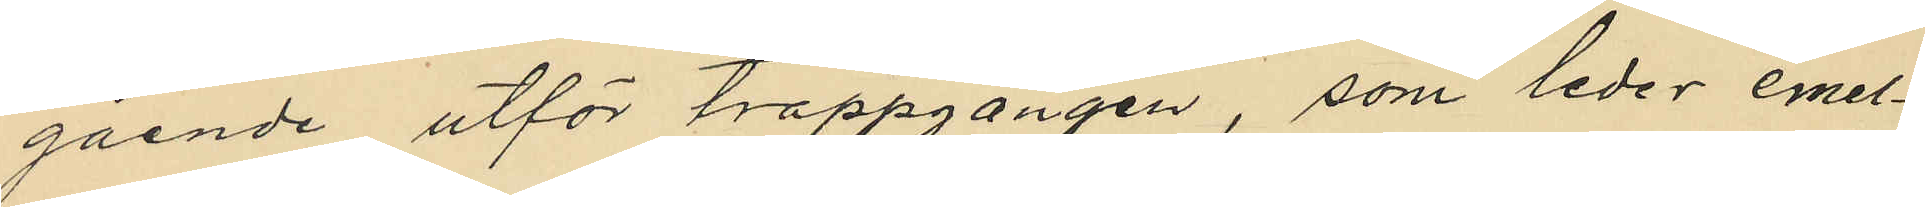gående utför trappgången, som leder emel¬
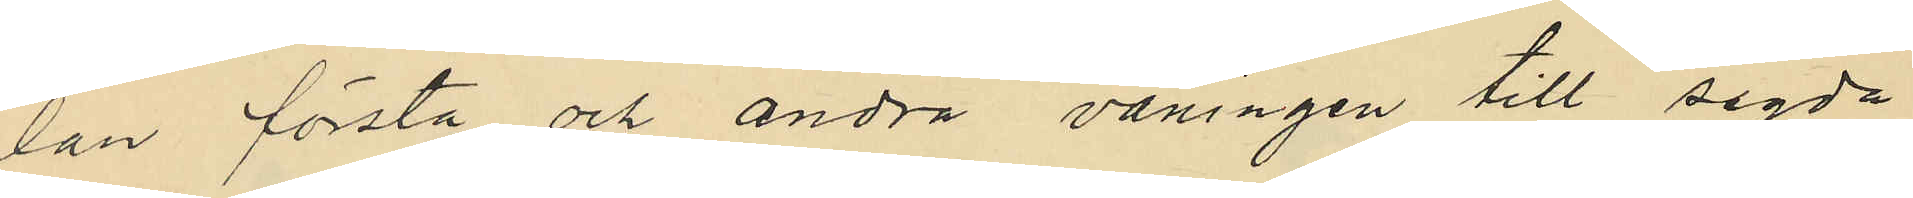lan första och andra våningen till sagda
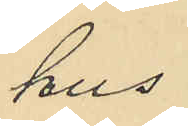hus.
